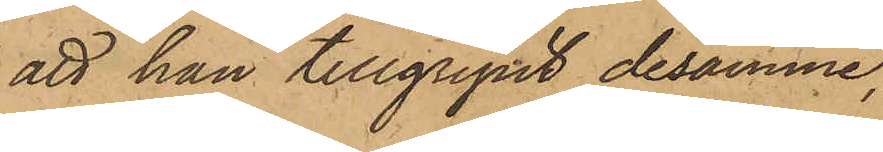att han tillgripit desamme,
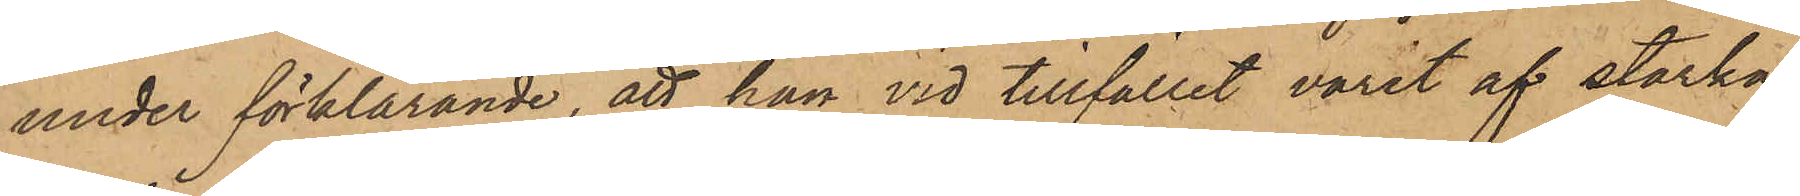under förklarande, att han vid tillfället varit af starka
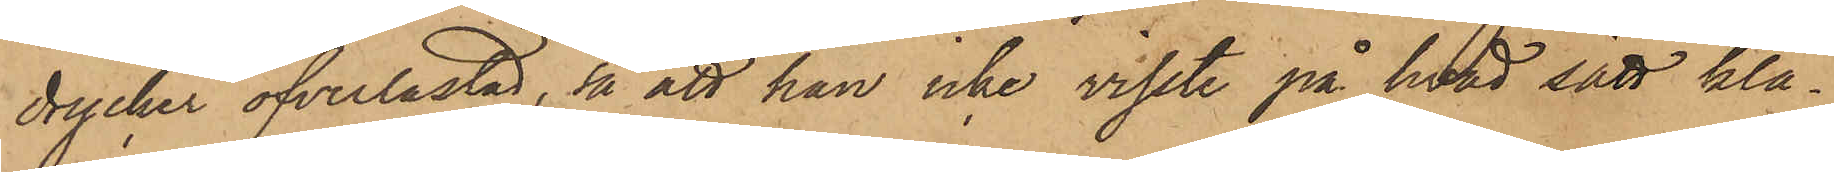drycker öfverlastad, så att han icke visste på hvad sätt klä¬
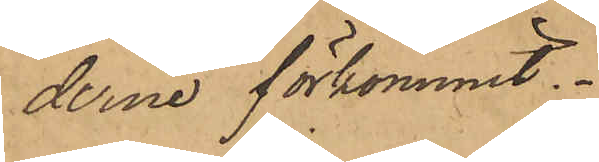derne förkommit.
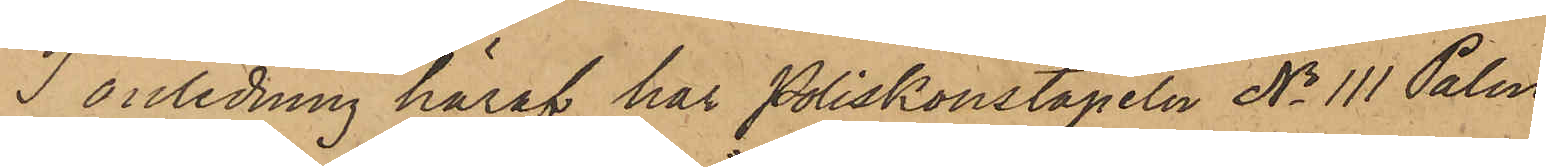I anledning häraf har Poliskonstapeln No 111 Palm
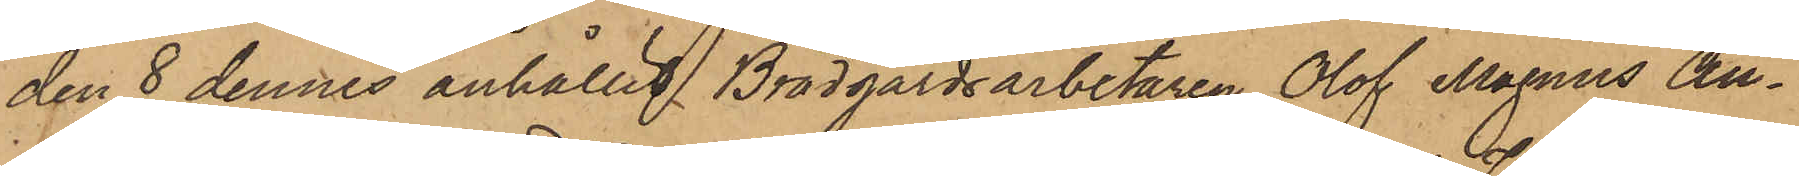den 8 dennes anhållit Brädgårdsarbetaren Olof Magnus An¬
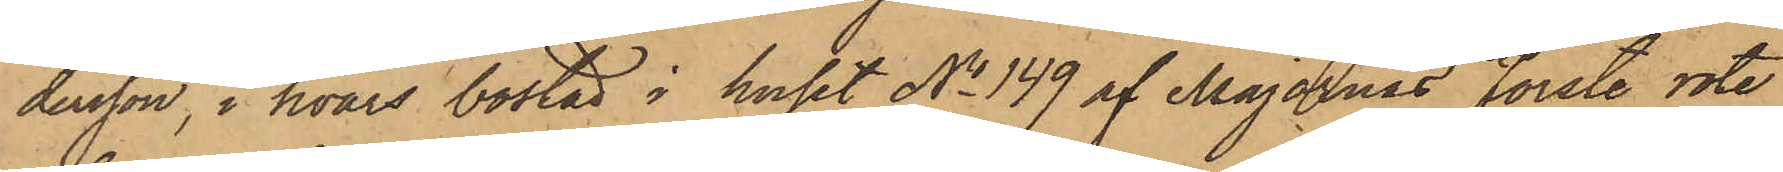dersson, i hvars bostad i huset No 149 af Majornas Förste rote
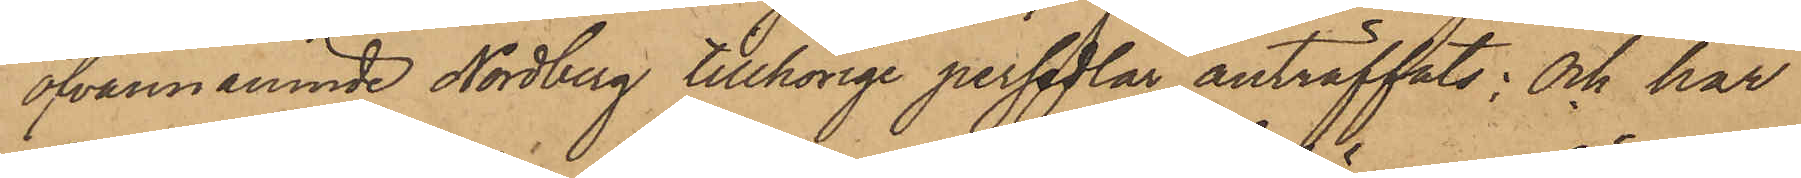ofvannämnde Nordberg tillhörige persedlar anträffats; Och har
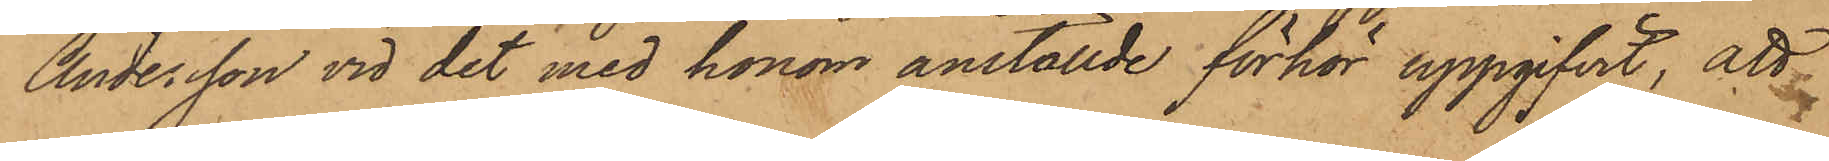Andersson vid det med honom anställde förhör uppgifvit, att
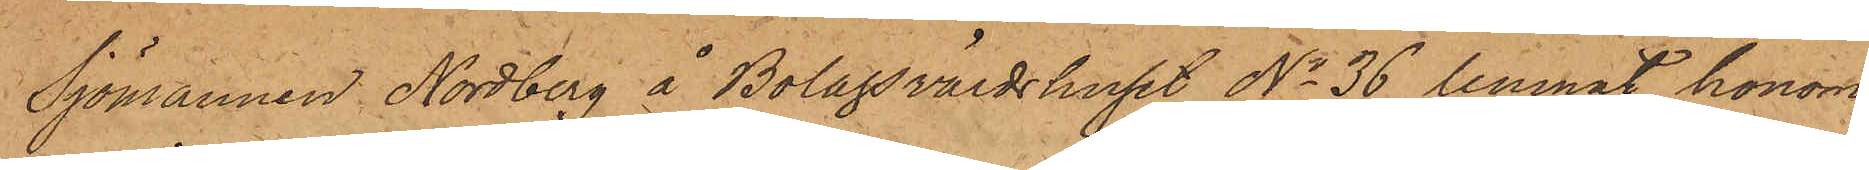Sjömannen Nordberg å Bolagsvärdshuset No 36 lemnat honom
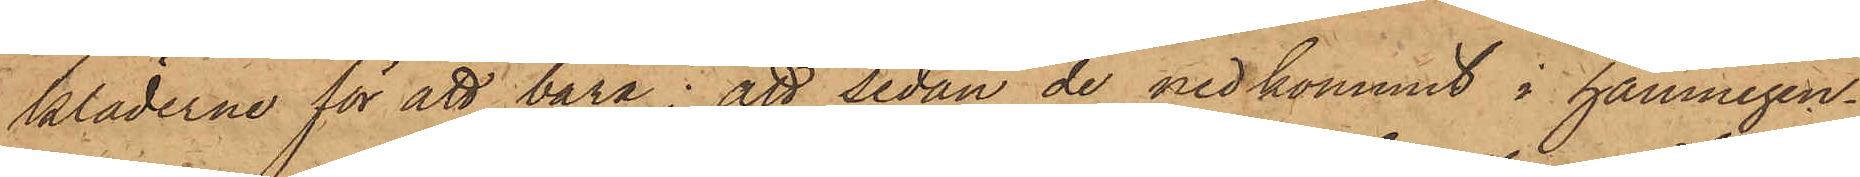kläderne för att bära; att sedan de nedkommit i hamnegen¬
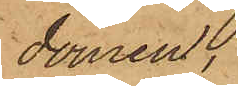domen,
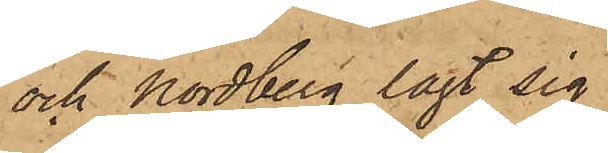och Nordberg lagt sig,
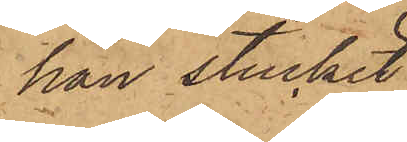han stuckit
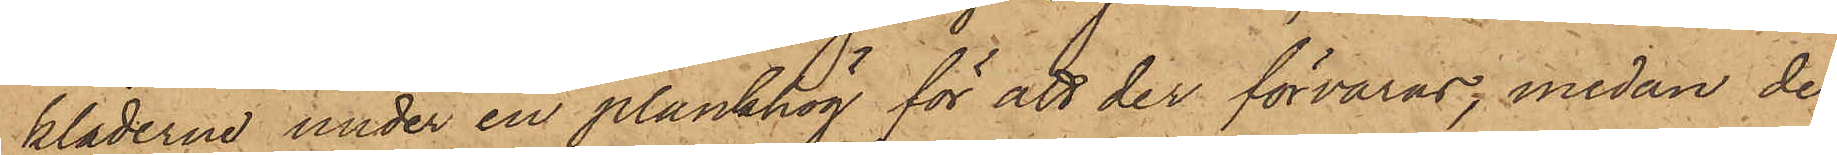kläderna under en plankhög för att der förvaras, medan de
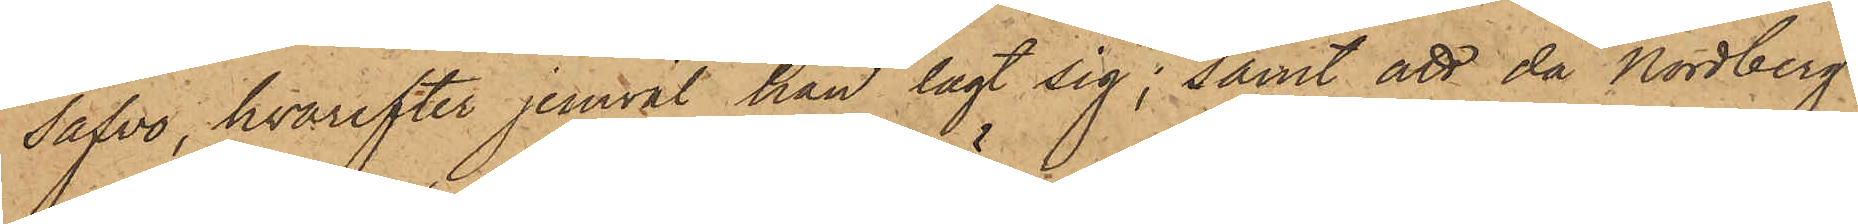såfvo, hvarefter jemväl han lagt sig; samt att då Nordberg
